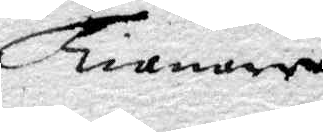Tienare
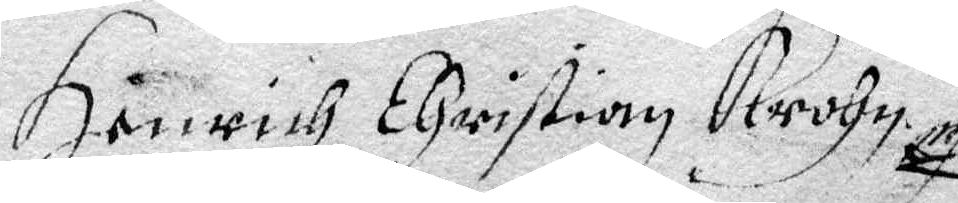Hånrich Christian Krohn.
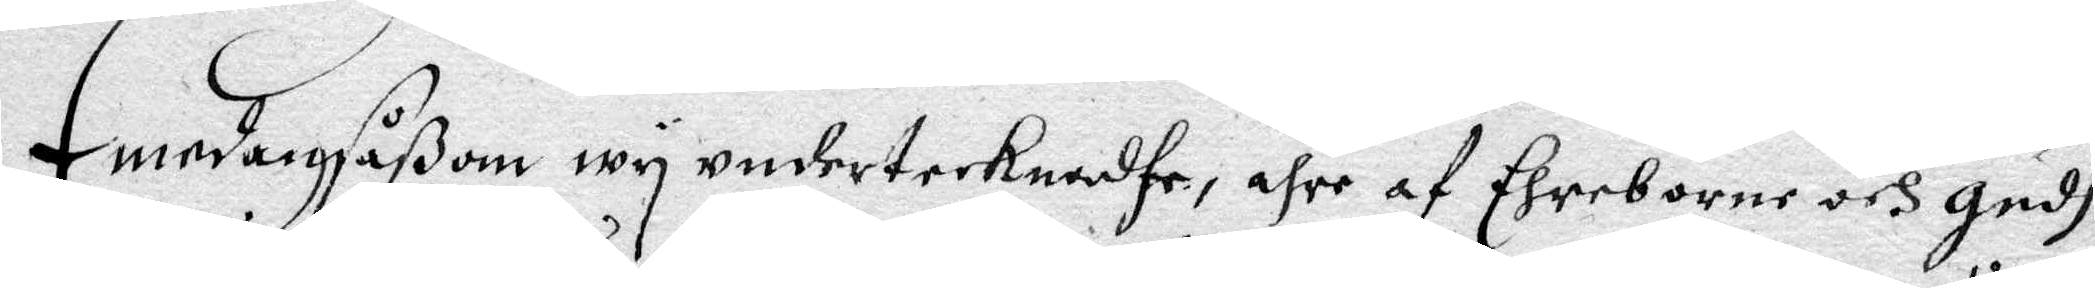Emedan såßom wy undertecknadhe, ähre af Ehreborne och Gudh¬
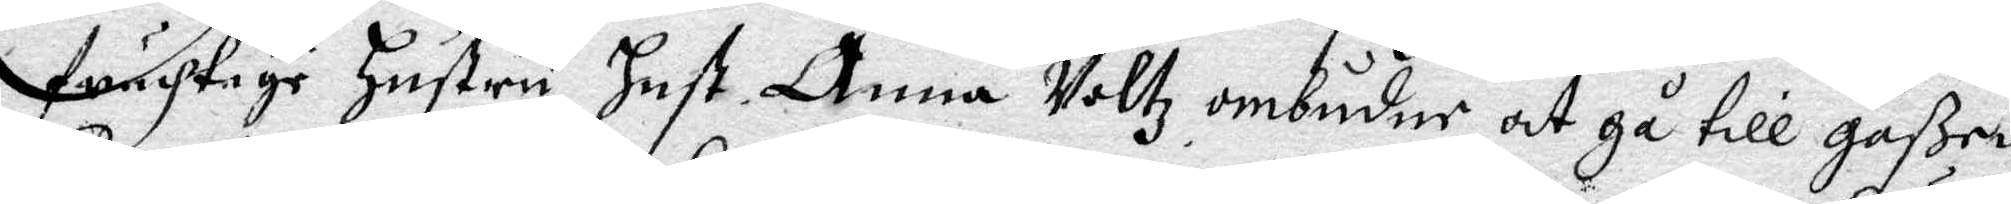fruchtige Hustru, Hust Anna Woltz ombuder, att gå till gåßen
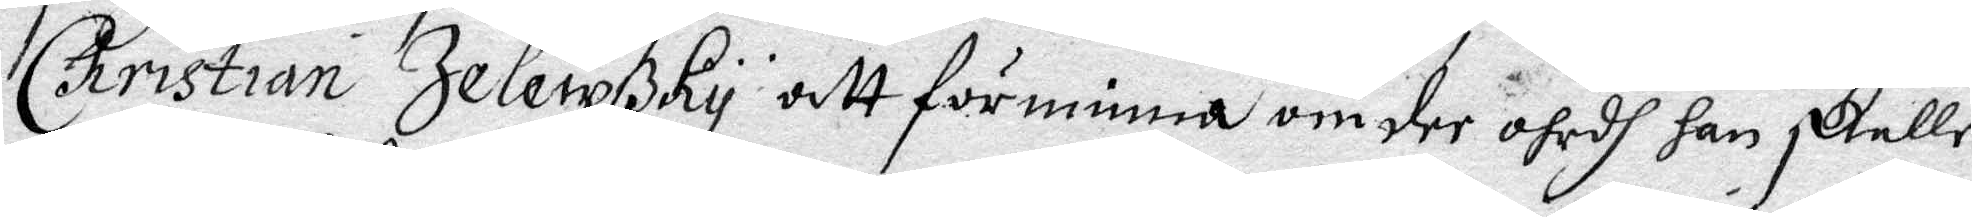Christian Jelewßky att förnimma om der ohrdh han skulle
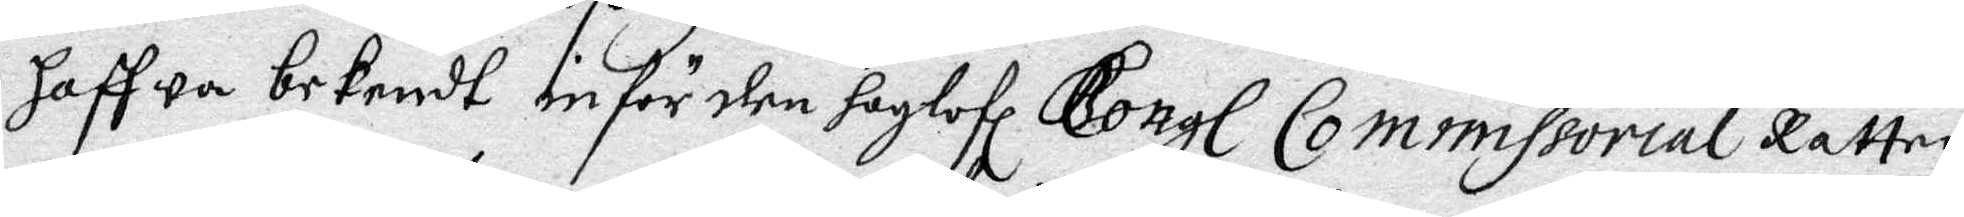haffwa bekendt inför den hoglofl Kongl Commissorial Rätten
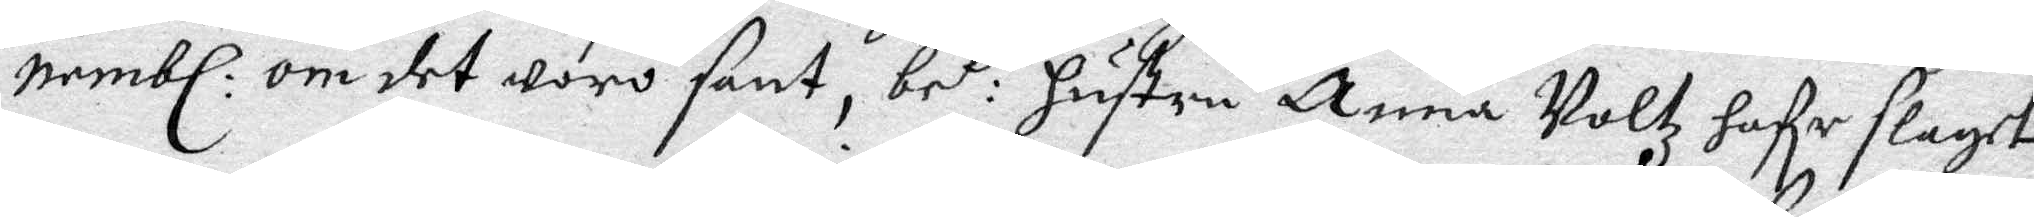nembl: om det woro sant, be t: hustru Anna Woltz hafe slagit
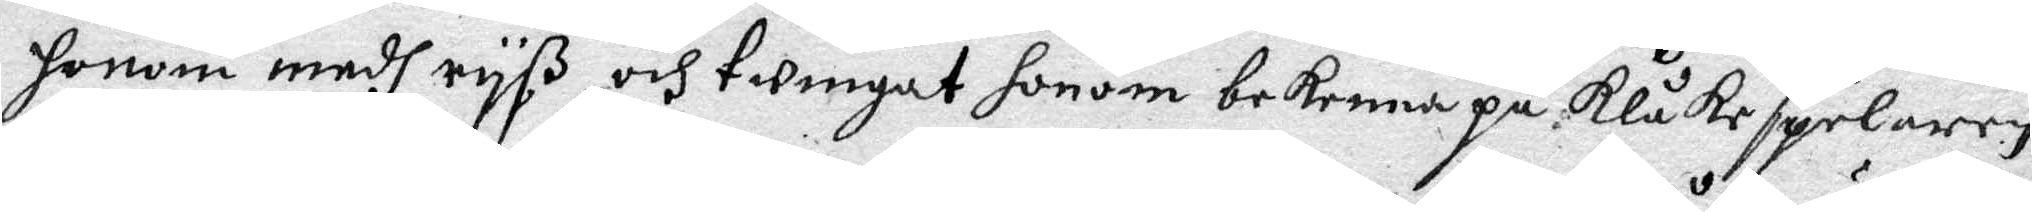honom medh ryß, och twingat honom bekenna på Klåkespelaren
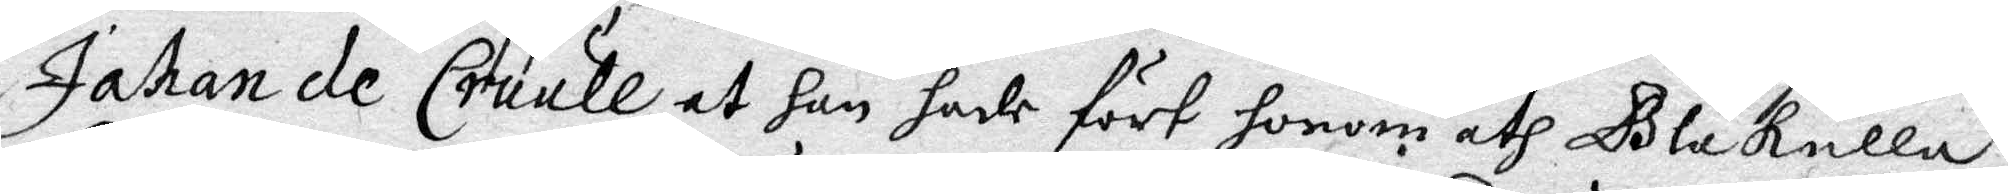Johan de Crull at han hade fört honom åth Blåkulla,
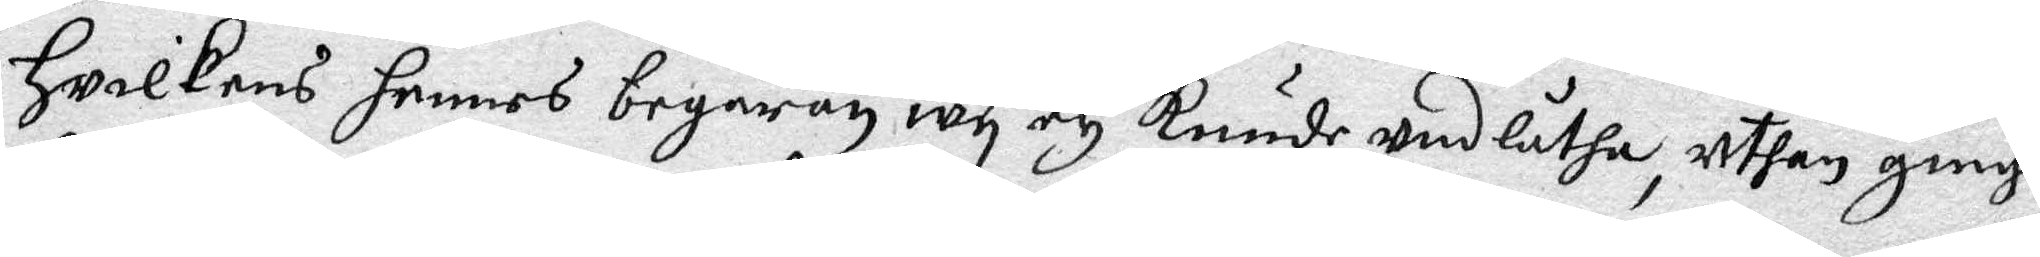Hwilkens hennes begäran wy ey kunde undlåtha, uthan ginge
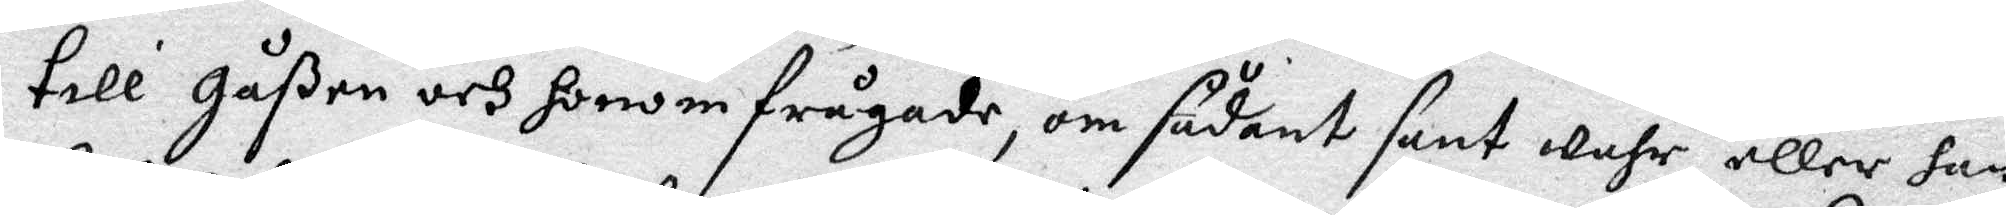till gåßen och honom frågade, om sådant sant wahr, eller han
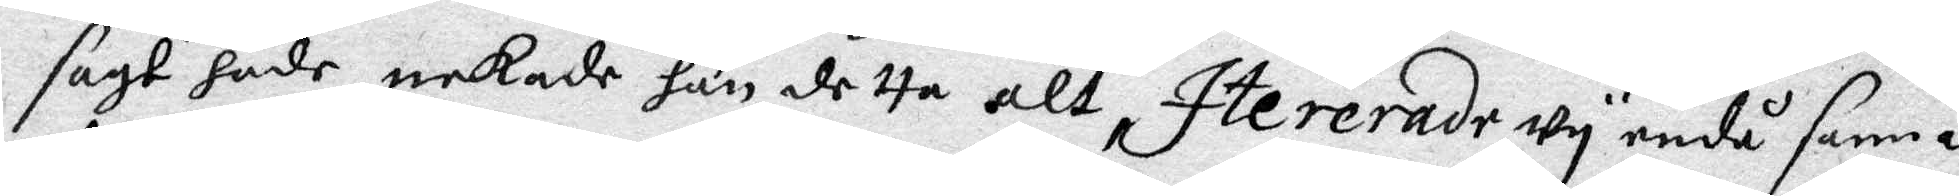sagt hade, nekade han detta atl, Itererade wy ändå samma
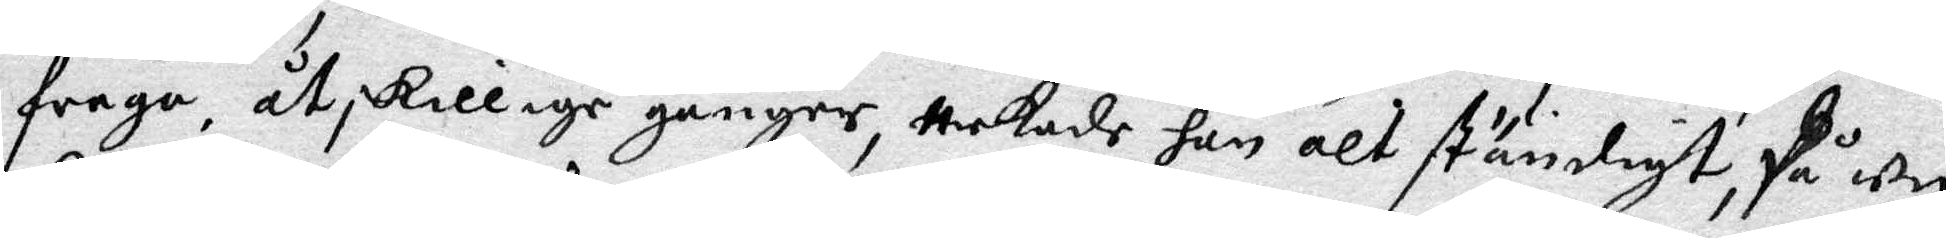fråga, åtskillige gånger, nekade han alt ständigt, På wy
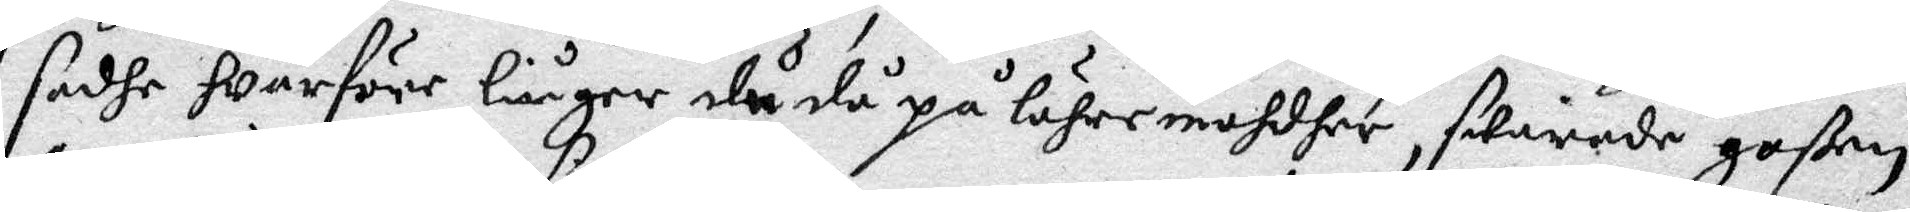sadhe warföre liuger du då på lähremohdher, swarade goßen
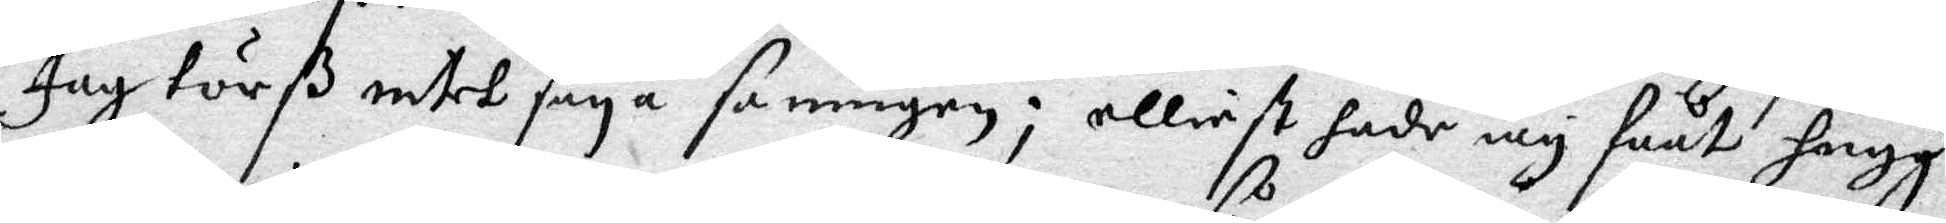Jag törß intet säya sanngen; elliest hade iag fååt hugg
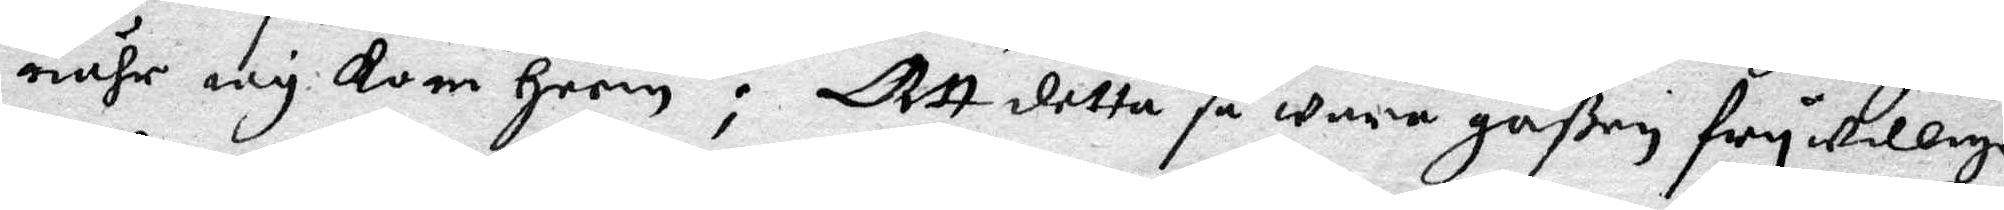nähr iag kom heem: Att detta så ware gåßen fry willige
